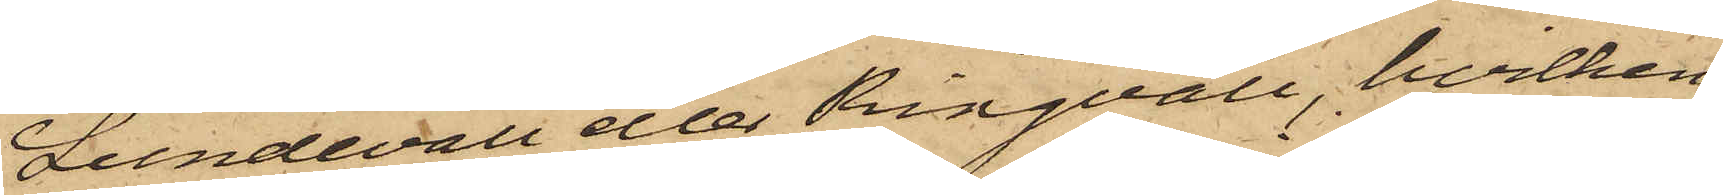Lundevall eller Ringvall, hvilken
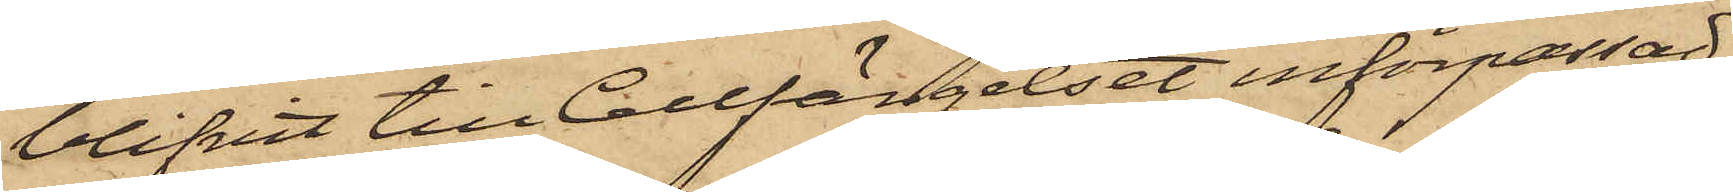blifvit till Cellfängelset införpassad
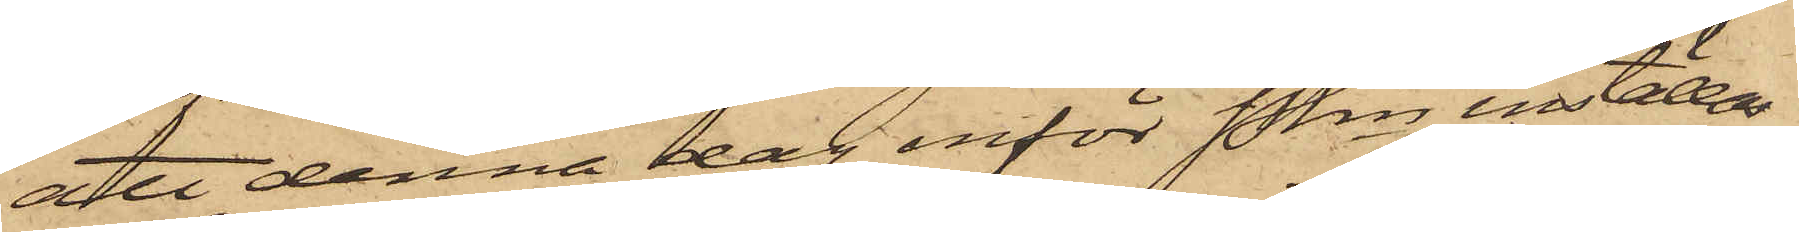att denna dag inför Pkn inställas.
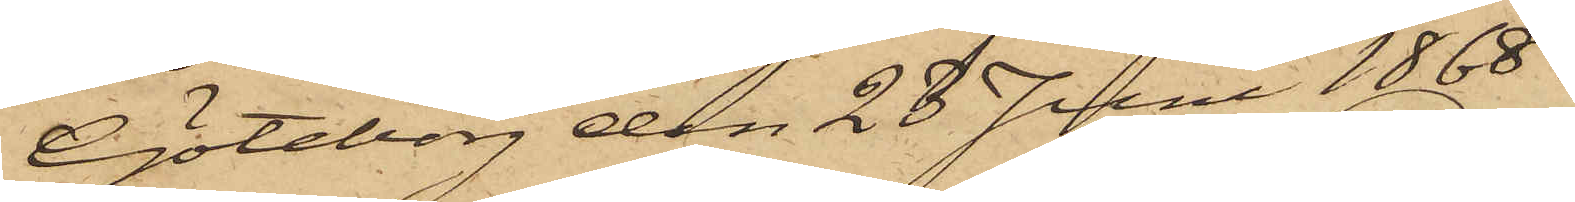Göteborg den 28 Juni 1868.
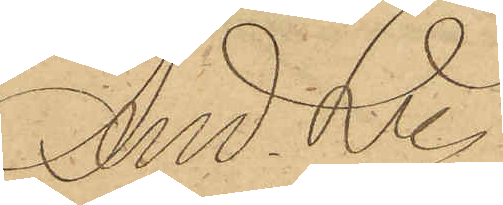And. Ln.
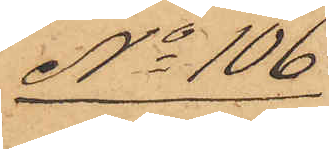No 106
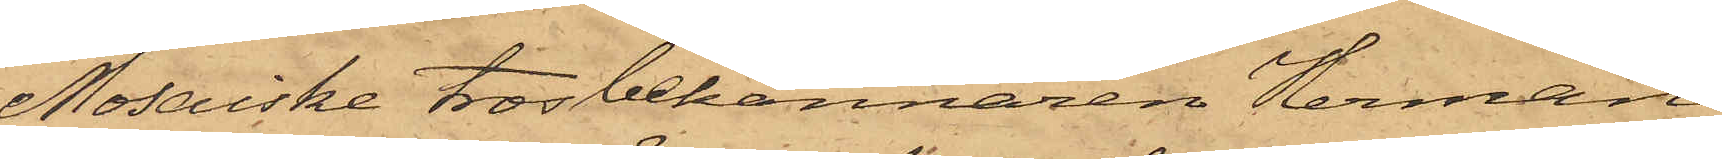Mosaiske trosbekännaren Herman
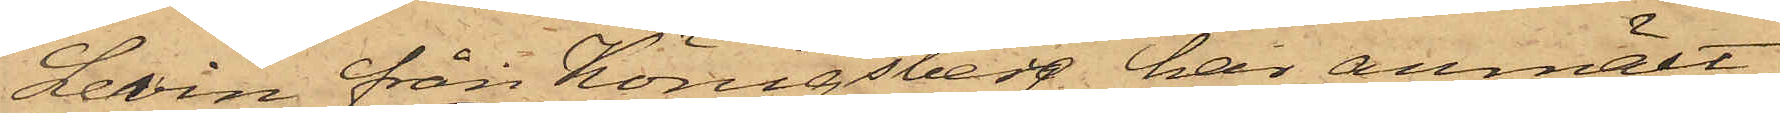Levin från Königsberg har anmält,
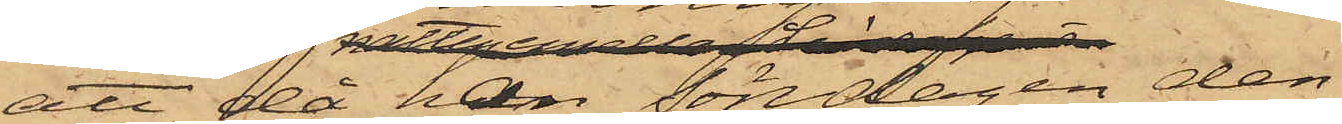att då han Söndagen den
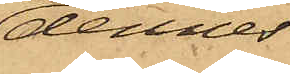dennes
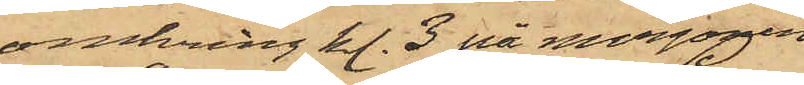omkring kl. 3 på morgonen
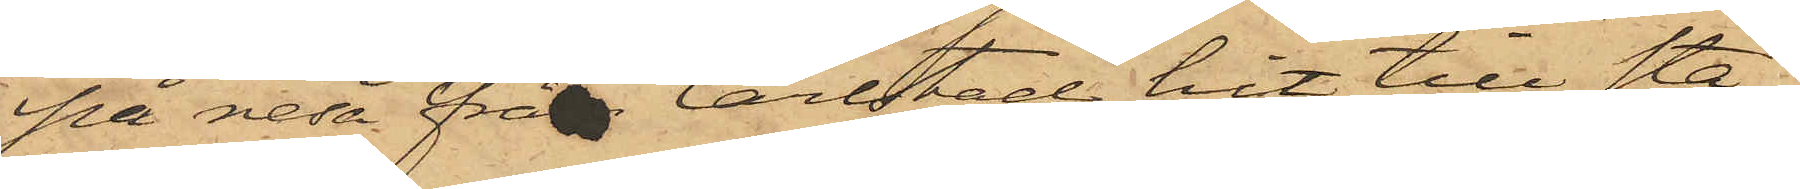på resa från Carlstad hit till sta¬
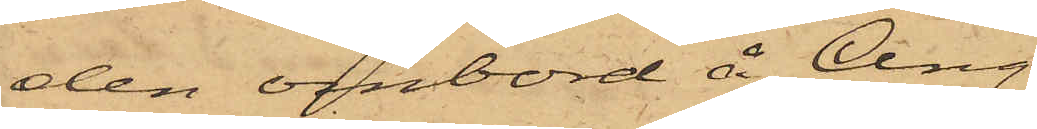den ombord å Ång¬
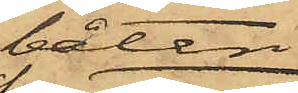båten
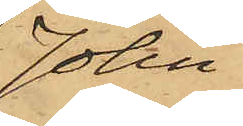John
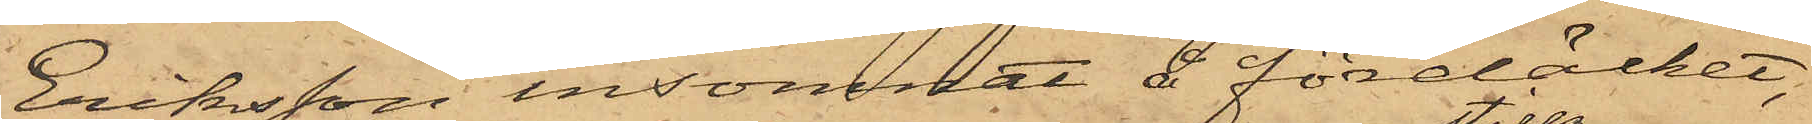Eriksson insomnat å fördäcket,
